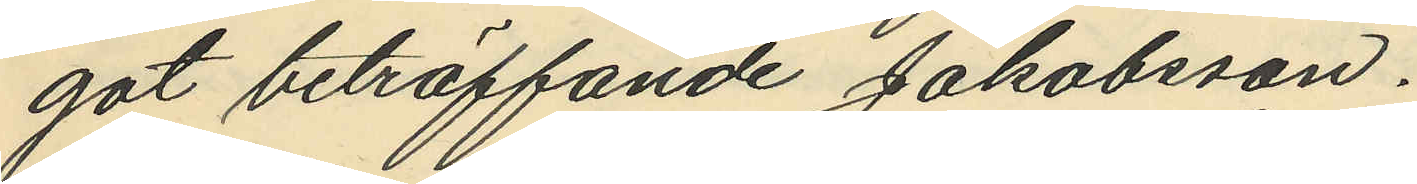got beträffande Jakobsson.
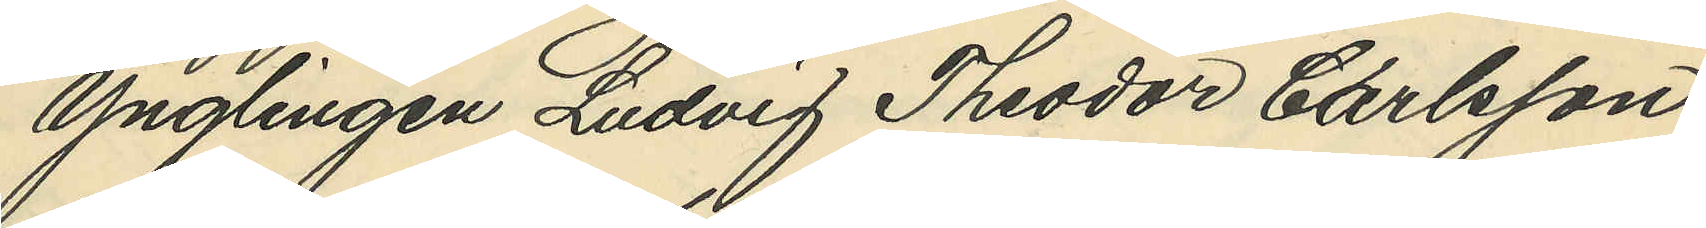Ynglingen Ludvig Theodor Carlsson,
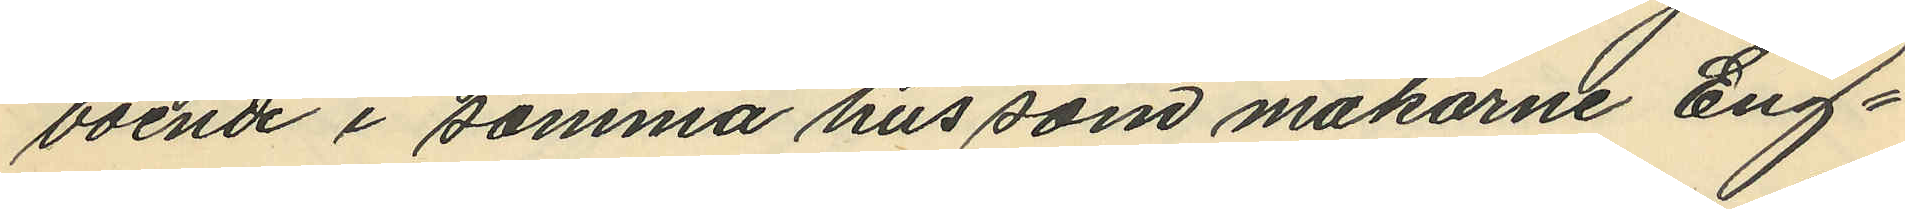boende i samma hus som makarne Eng¬
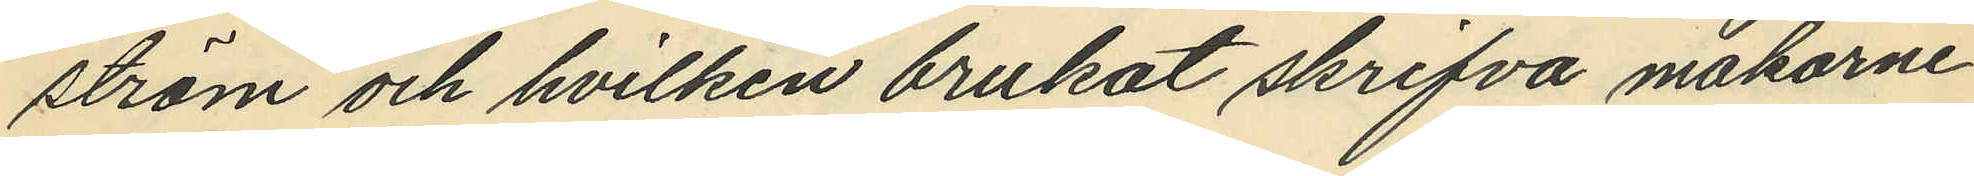ström och hvilken brukat skrifva makarne
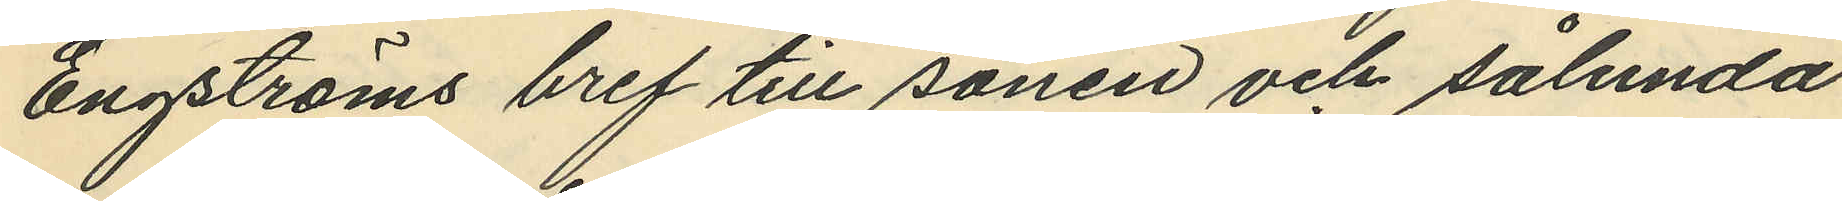Engströms bref till sonen och sålunda
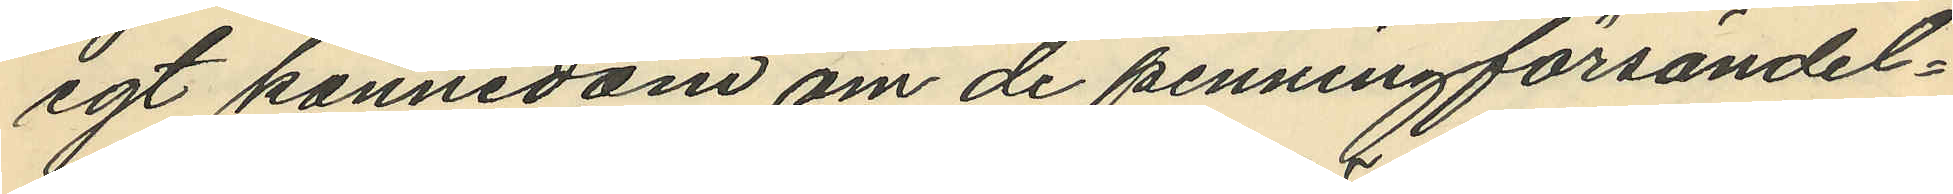egt kännedom om de penningförsändel¬
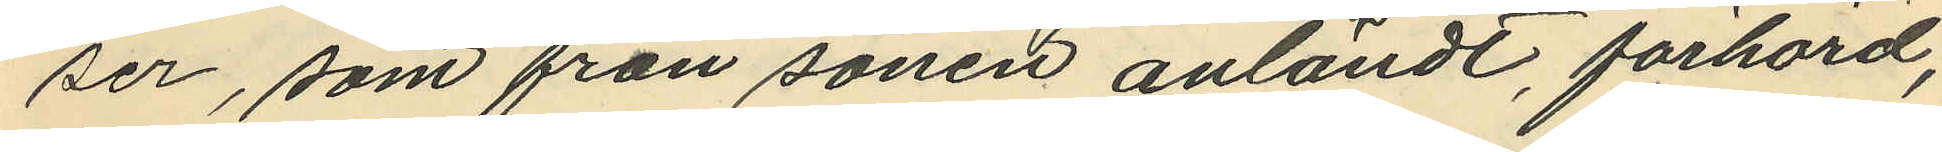ser, som från sonen anländt, förhörd,
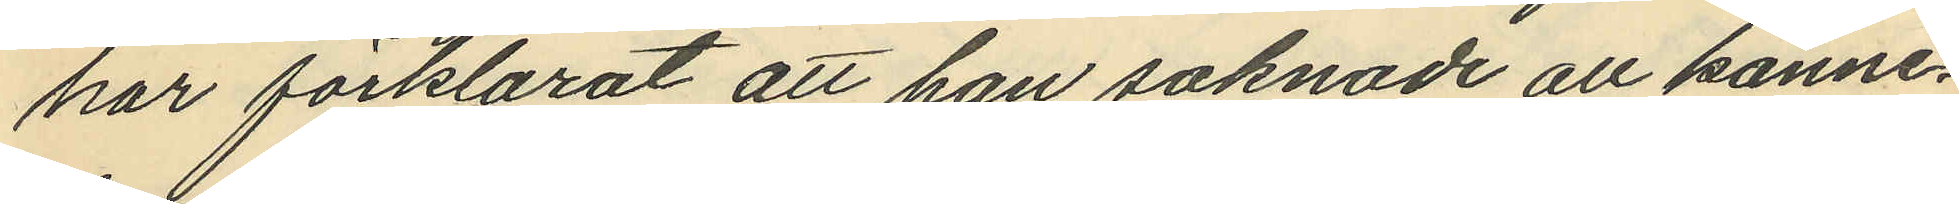har förklarat att han saknade all känne¬
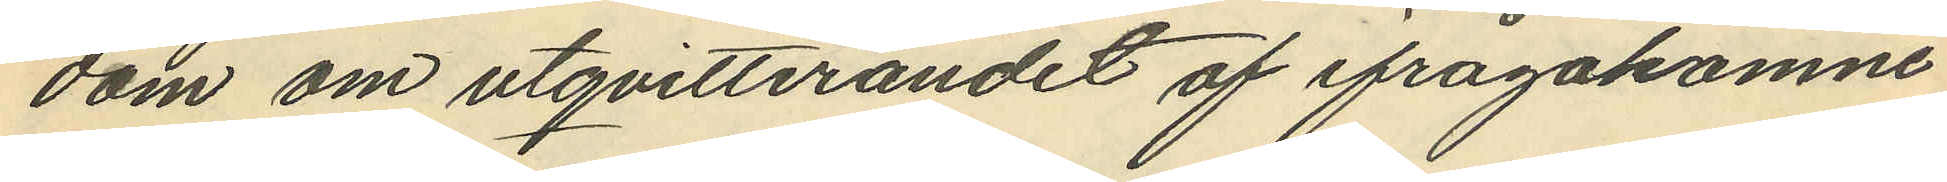dom om utqvitterandet af ifrågakomne
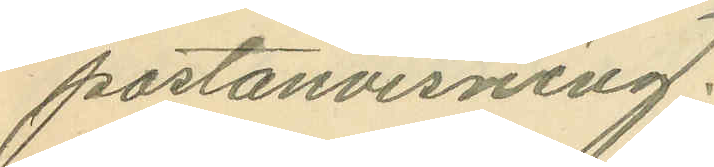postanvisning.
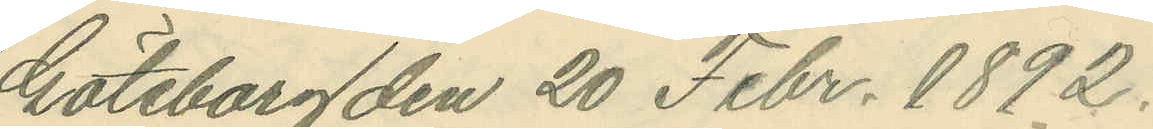Göteborg den 20 Febr. 1892.
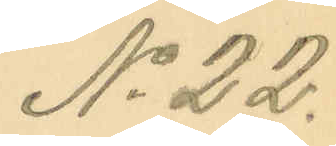No 22.
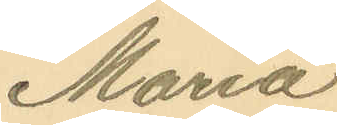Maria
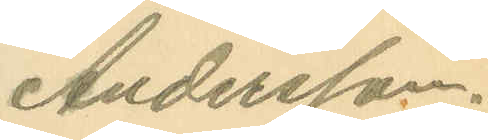Andersson.
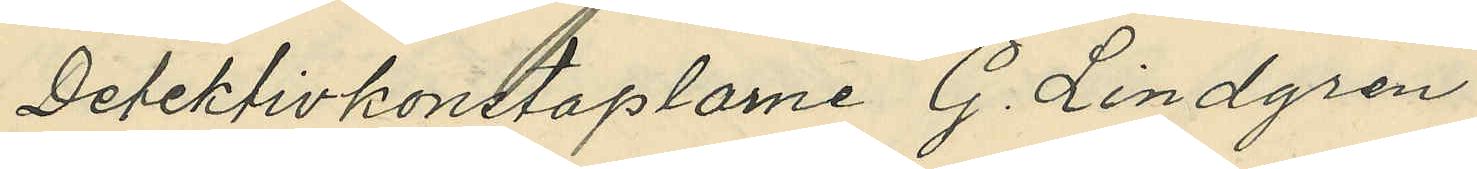Detektivkonstaplarne G. Lindgren
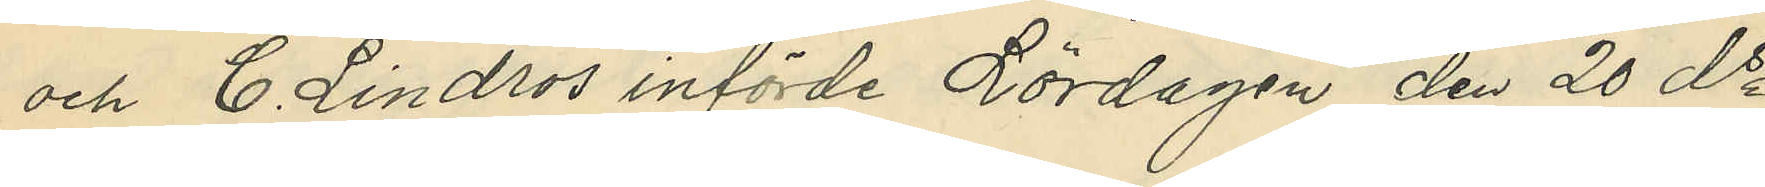och C. Lindros införde Lördagen den 20 ds
